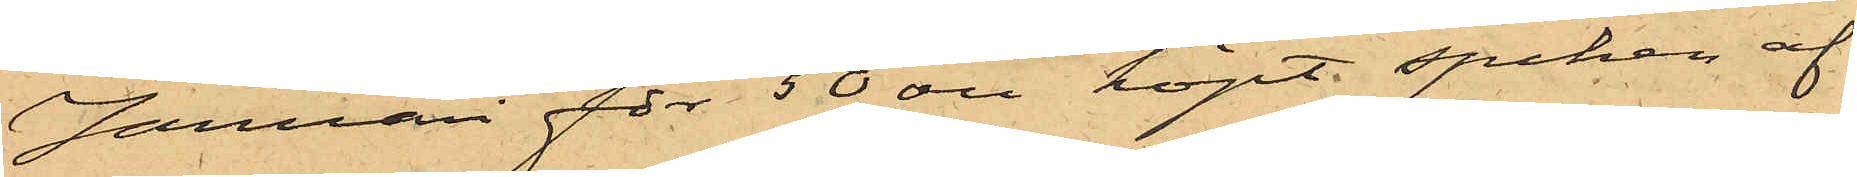Januari för 50 öre köpt spiken af
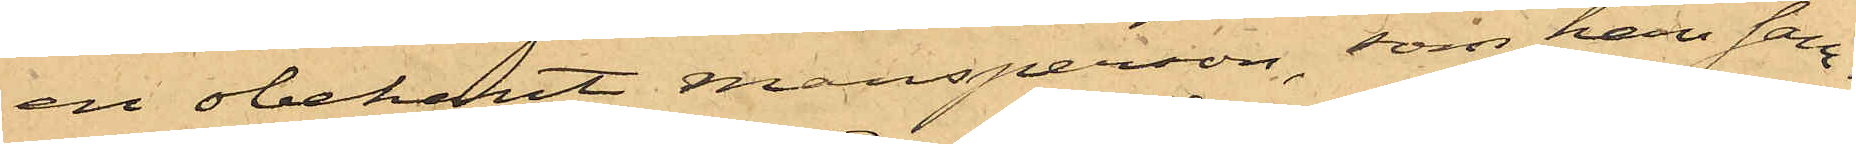en obekant mansperson, som han sam¬
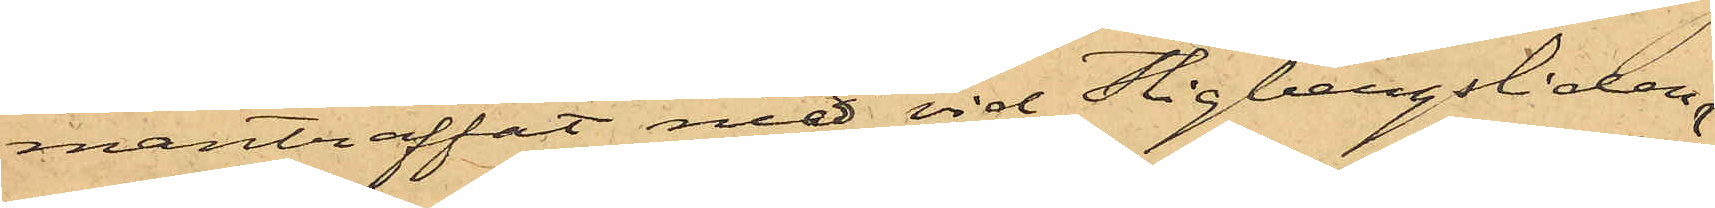manträffat med vid Stigbergsliden.
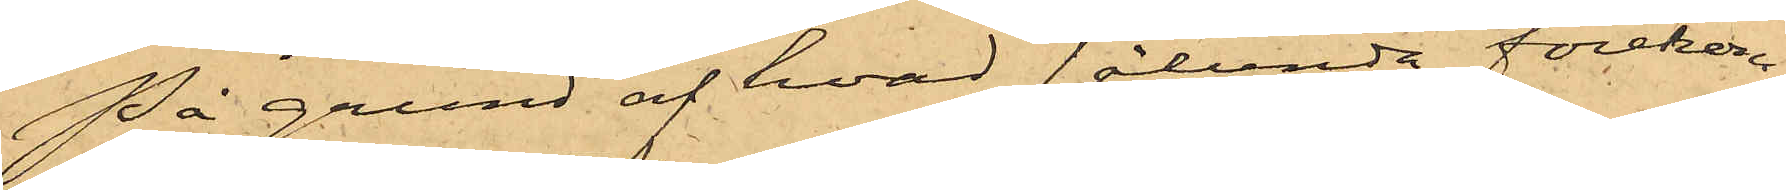På grund af hvad sålunda förekom¬
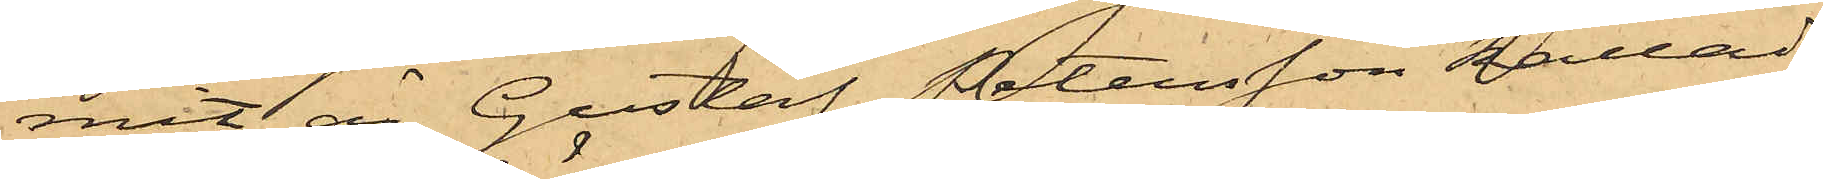mit, är Gustaf Petersson kallad
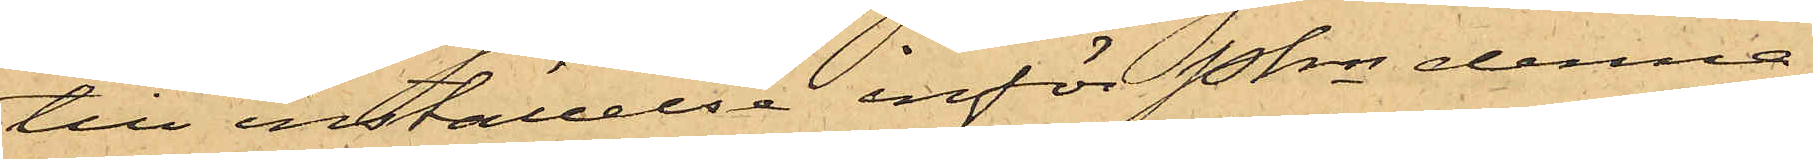till inställelse inför Pkn denna
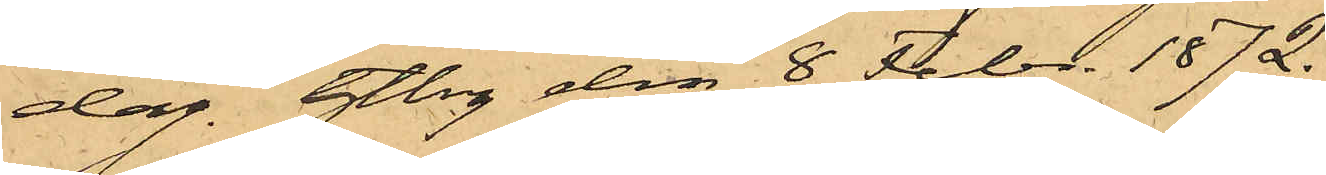dag. Gtbrg den 8 Febr. 1872.
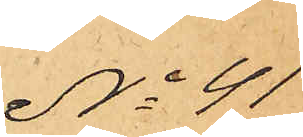No 41
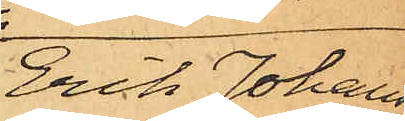Erik Johans¬
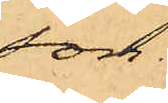son.
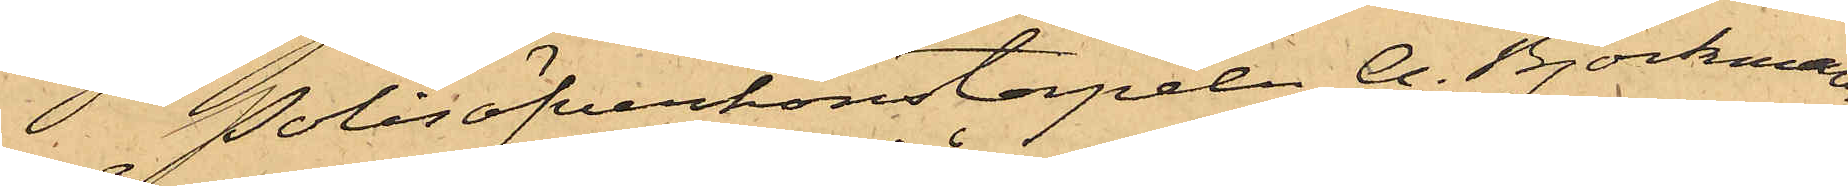Polisöfverkonstapeln A. Björkman,
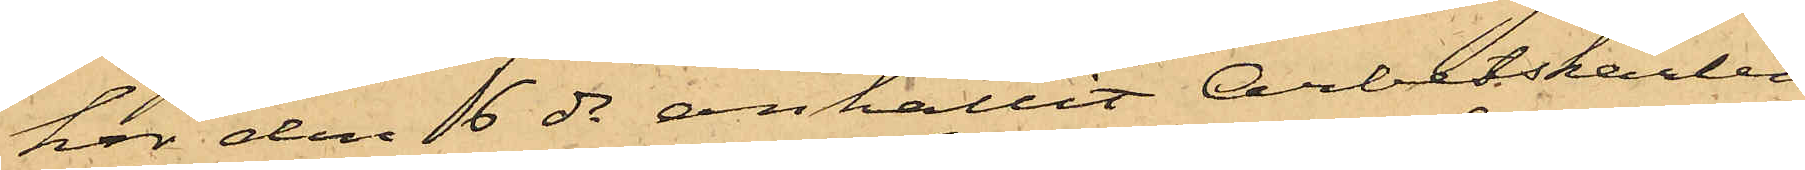hör den 6 ds anhållit Arbetskarlen
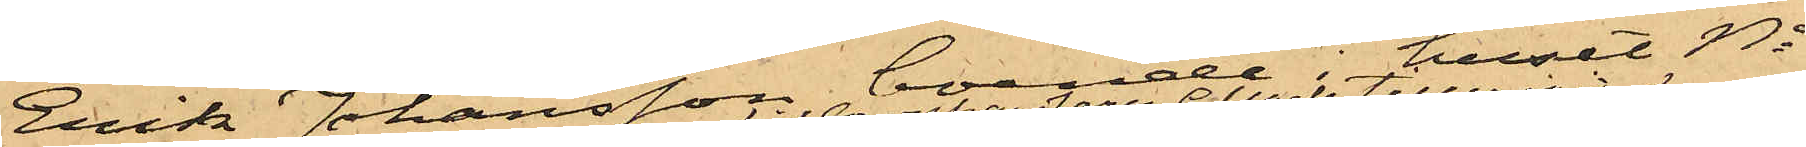Erik Johansson, boende i huset No
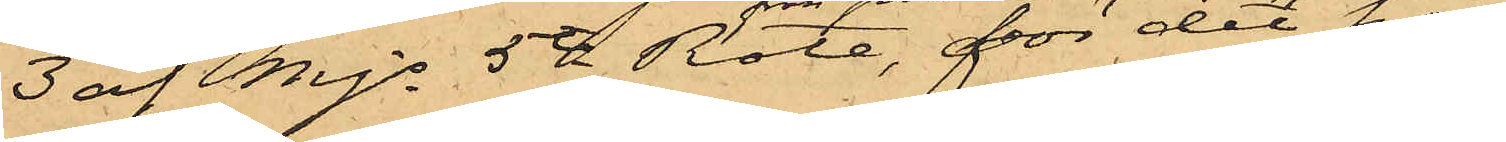3 af Mjs 5te Rote, för det han
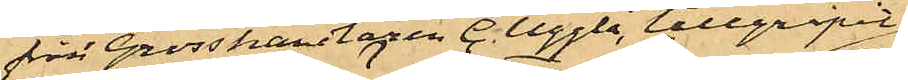från Grosshandlaren C. Uggla, tillgripit
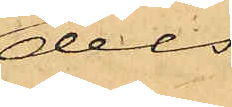dels
